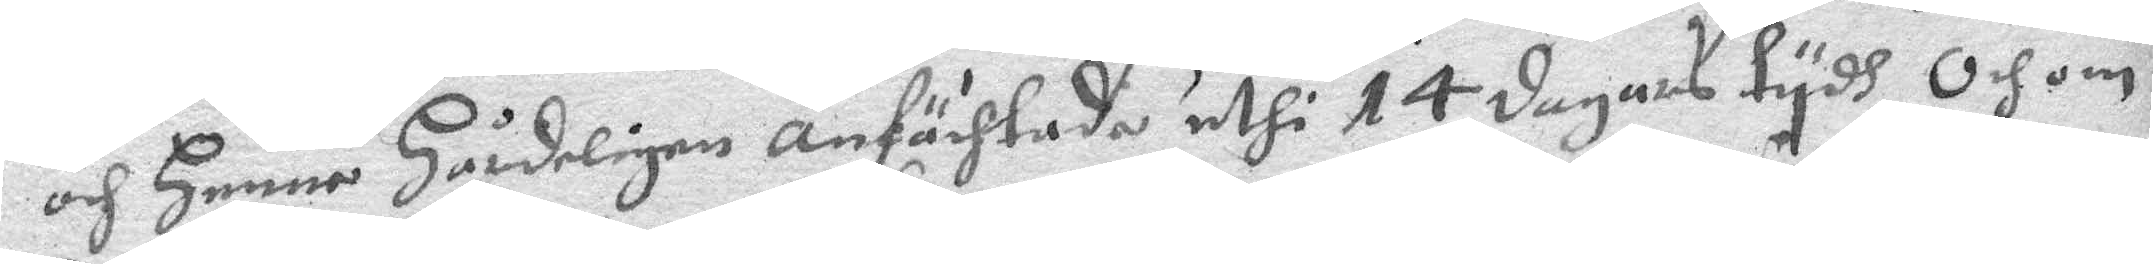och henne hårdeligen anfächtade uthi 14 dagars tydh, och om
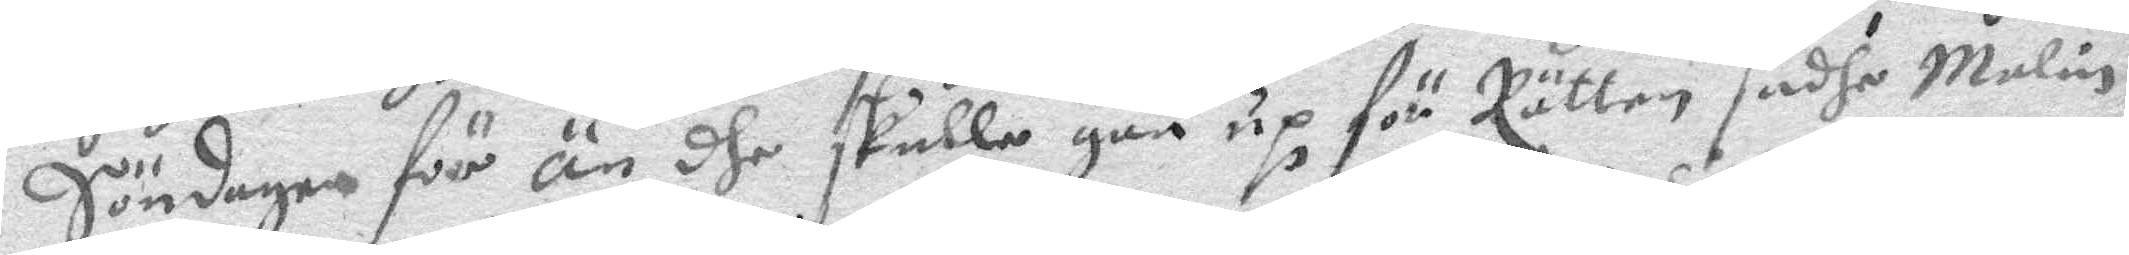Söndahen för än dhe skulle gåå up för Rätten sadhe malin
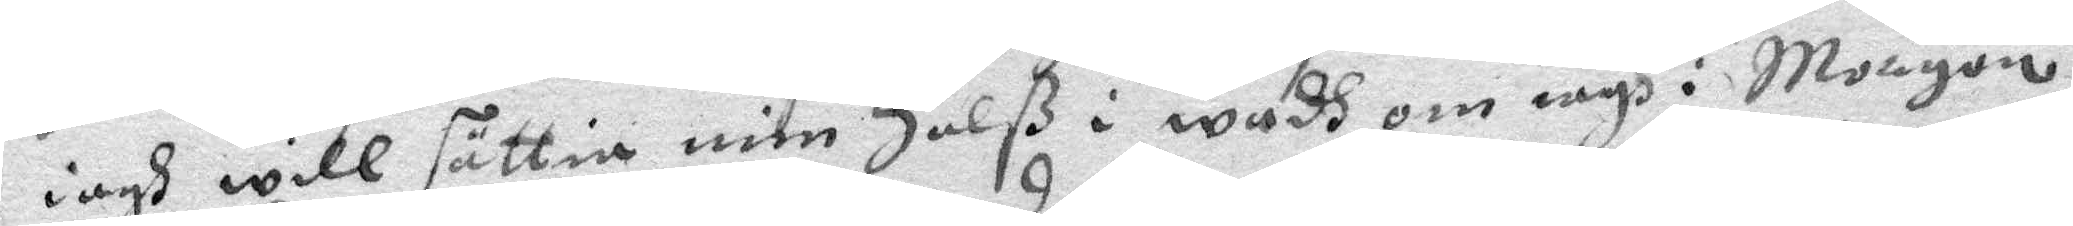iagh will sättia mih halß i wadh om iagh i Morgon
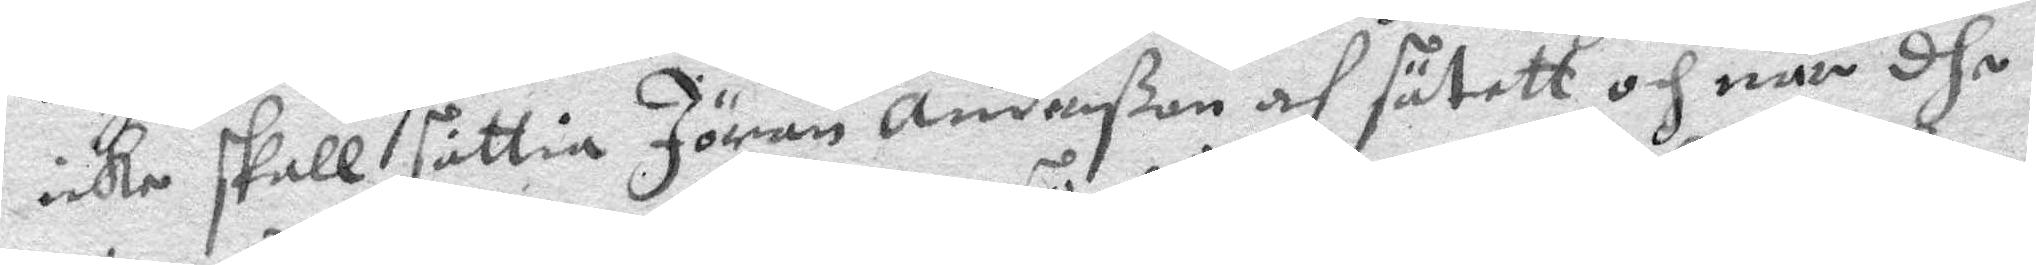icke skall sättia Jöran Anderßon af sätett och när dhe
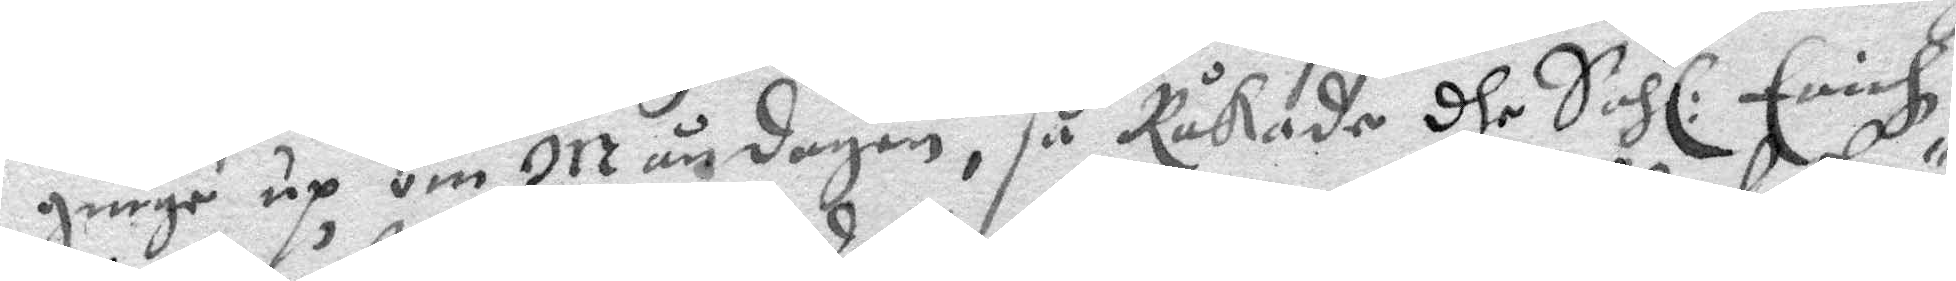ginge up om Måndagen, så Råkade dhe Sahl: Erich
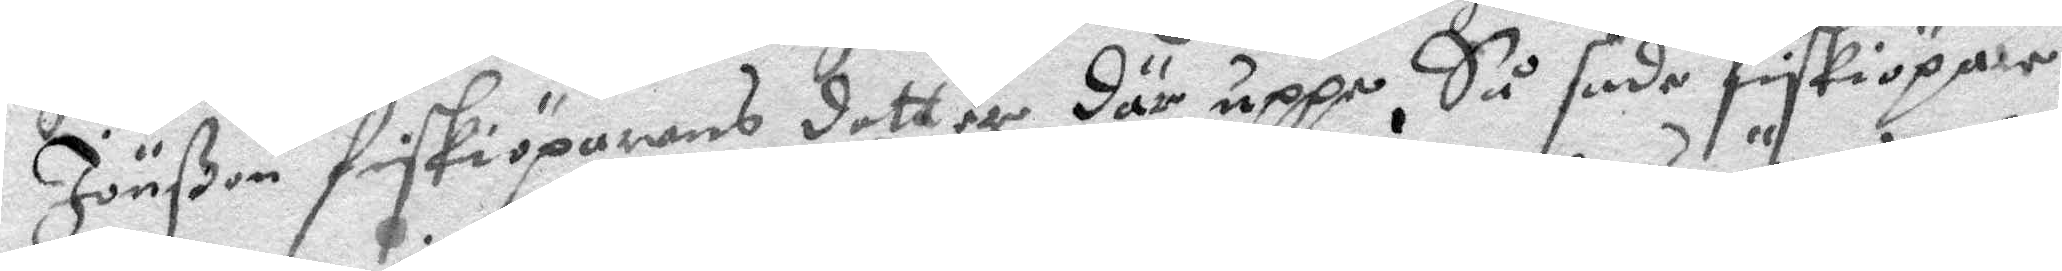Jönßon fiskkiöparnes dotter där uppe. Så sade fiskiöpar¬
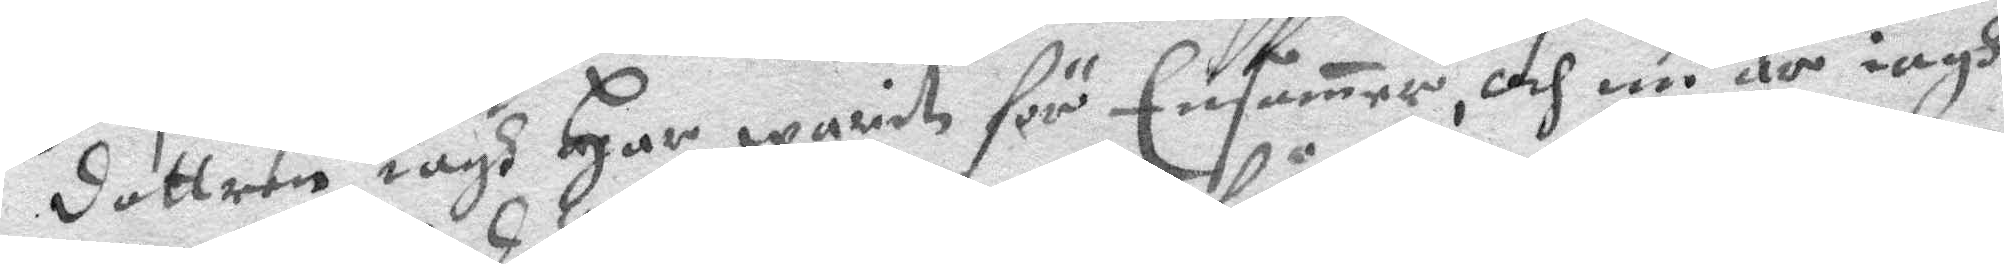dottren iagh har warit för Ensamer, och nu är iagh
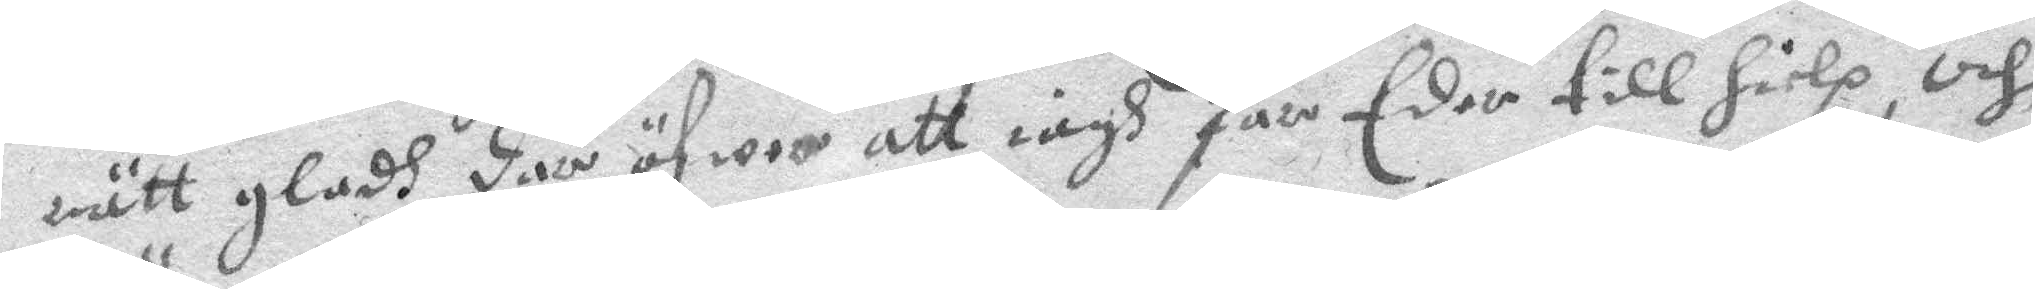rätt gladh där öfwer att iagh får Eder till hielp, och
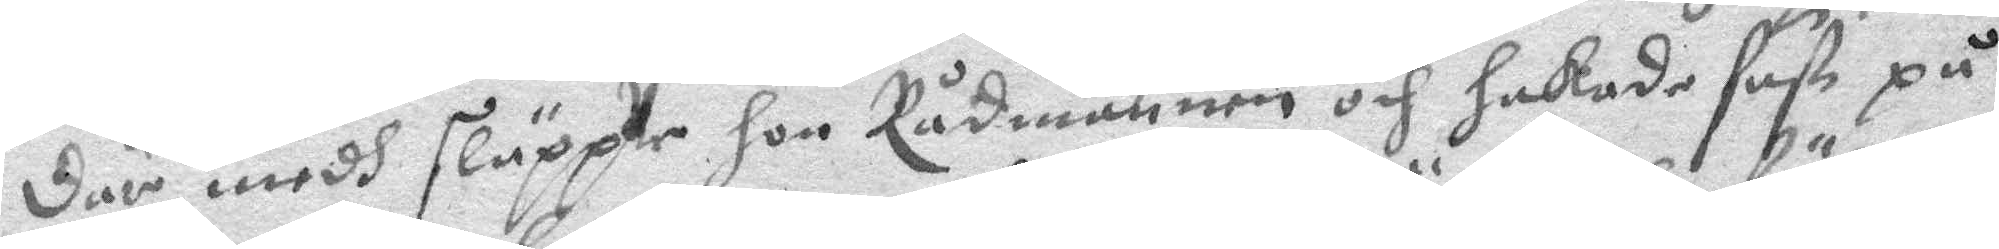där medh sluppe hon Rådmannen och hakade fast på
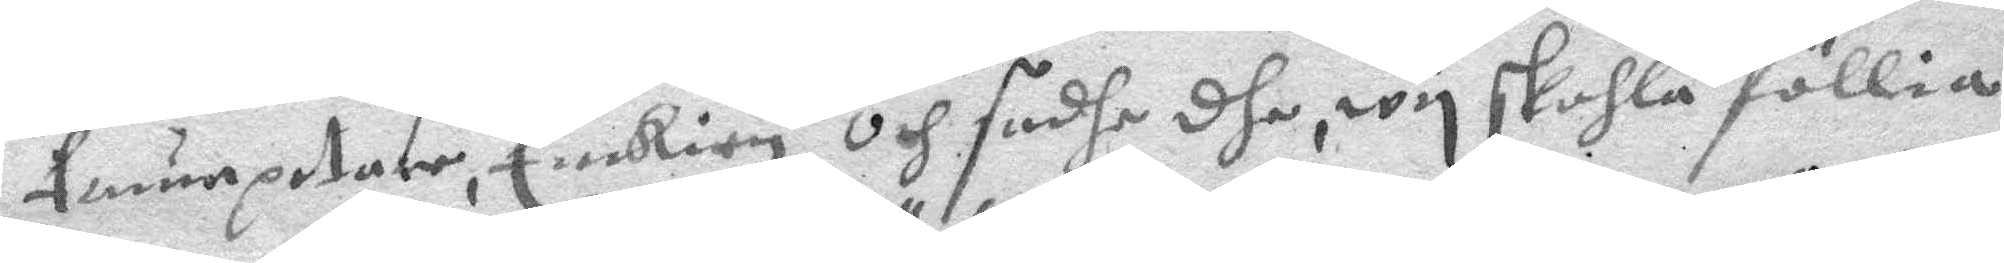trumpetare Enkian och sadhe dhe, wy skohla föllia
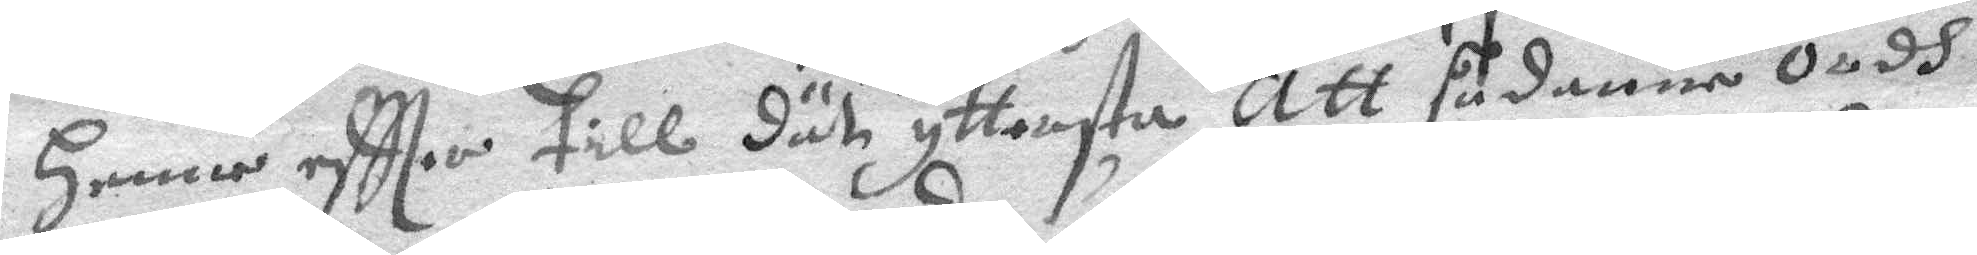henne eftter till dät yttersta, att sådanne ordh
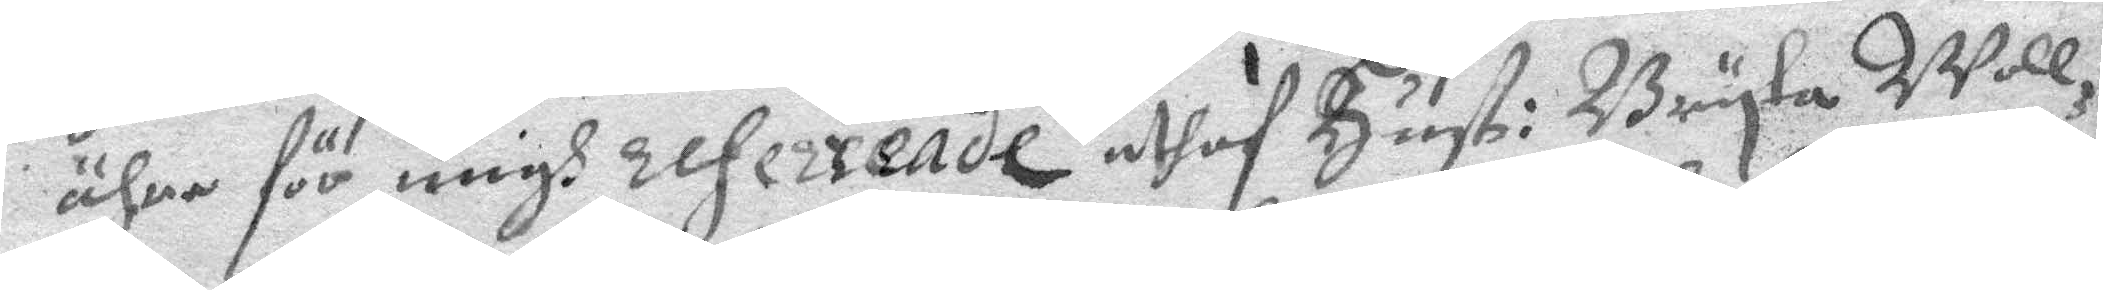ähre för migh refererade uthaf hust: Bryta Woll¬
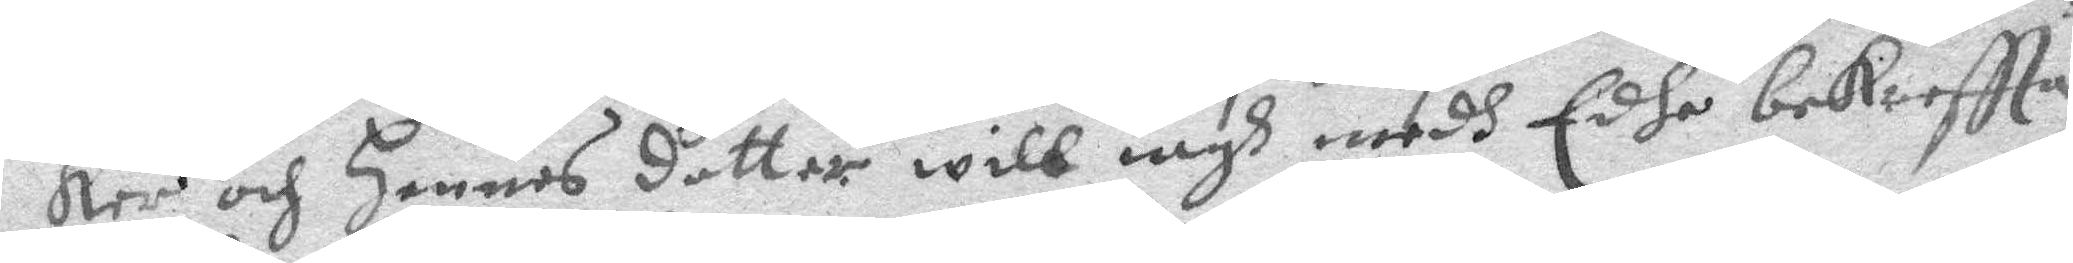ker och hennes dotter will iagh medh Edhe bekreftta
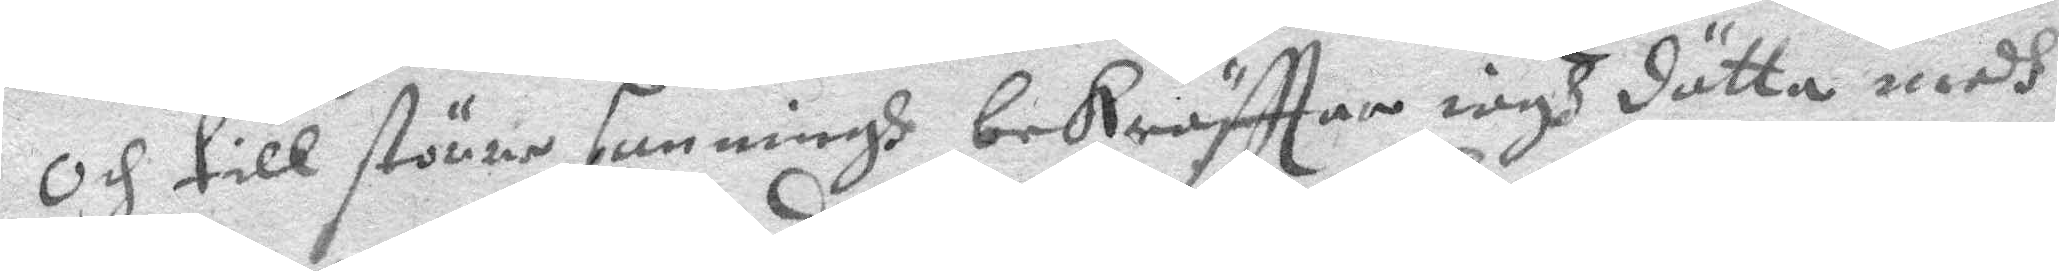och till större sanningh bekräfttar iagh dätta medh
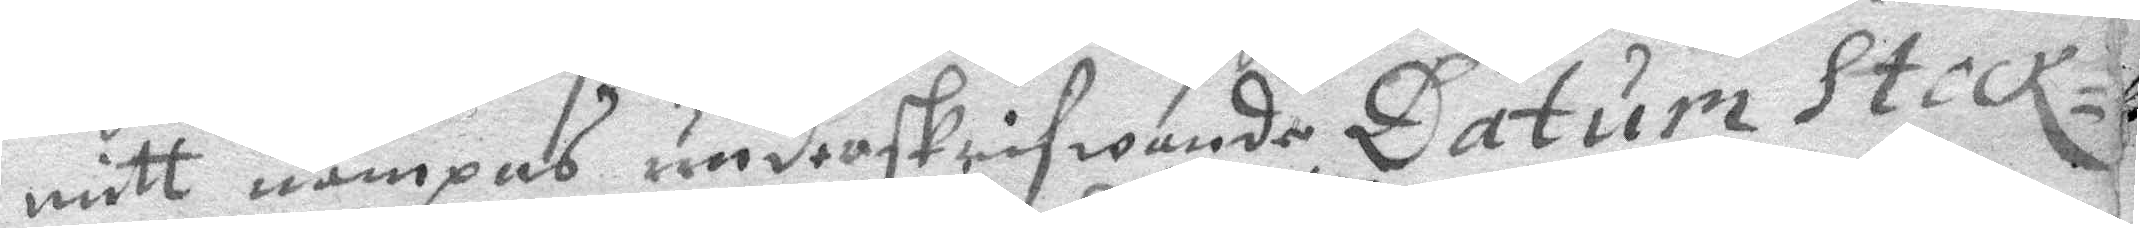mitt nampns underskrifwande Datum Stock¬
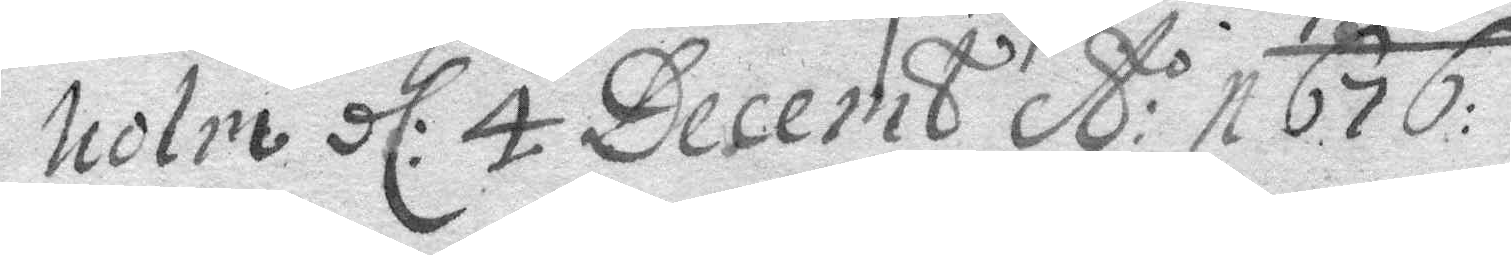holm dl: 4 Decemb A:o 1676:
